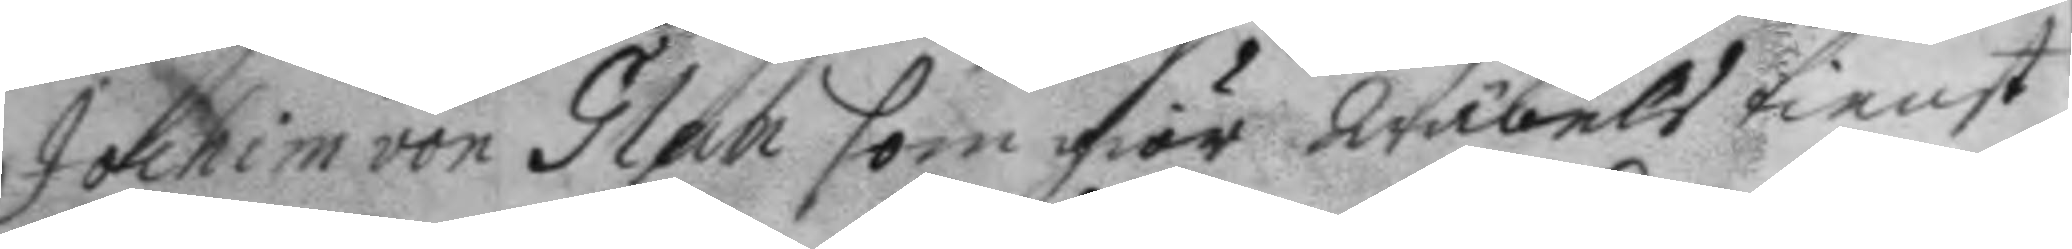Joachim von Glan som giör Wälbels tienst
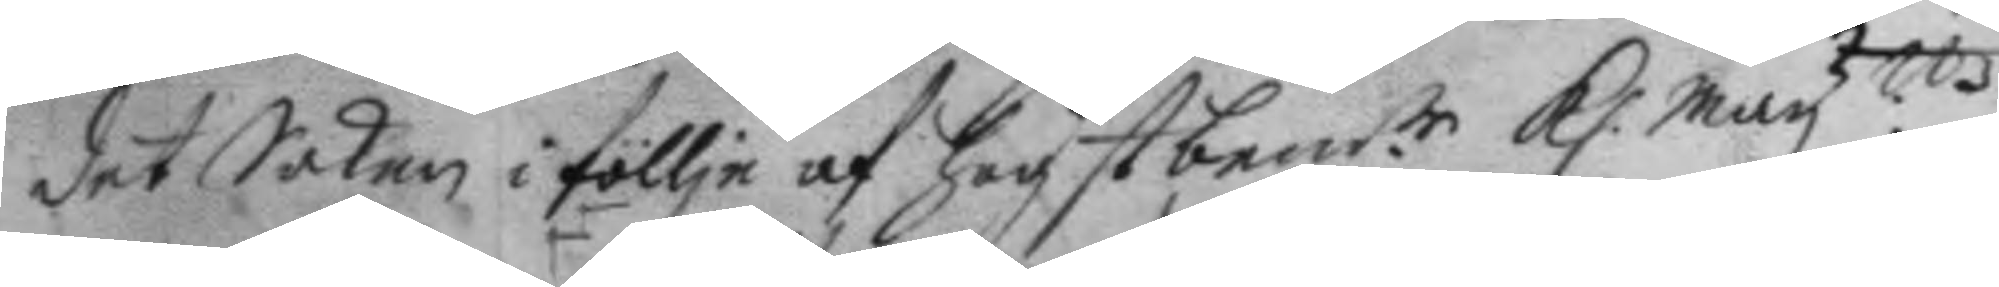det Saken i föllje af högst bemt.e K. May.ttz
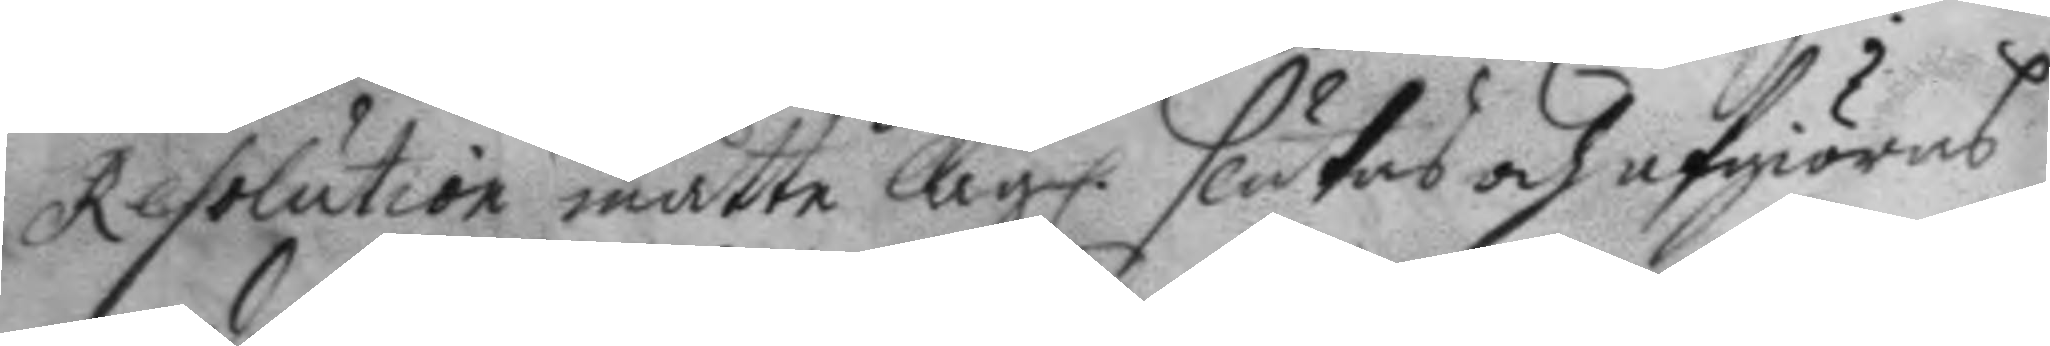Resolution måtte Lag. slutas och afgiöras
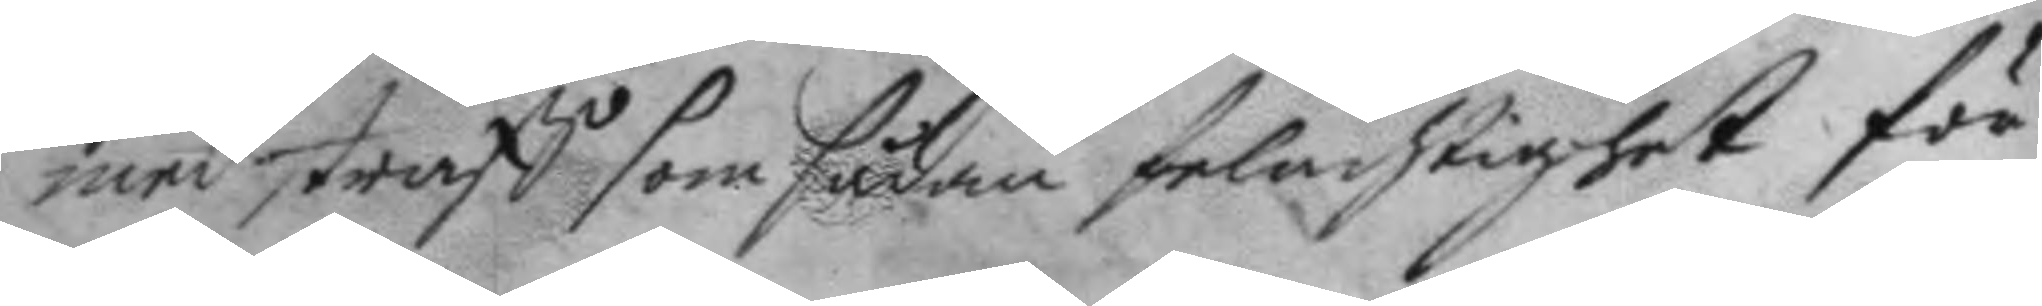med straff som sådan felachtighet för¬
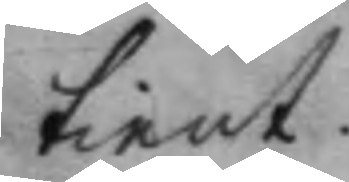tient.
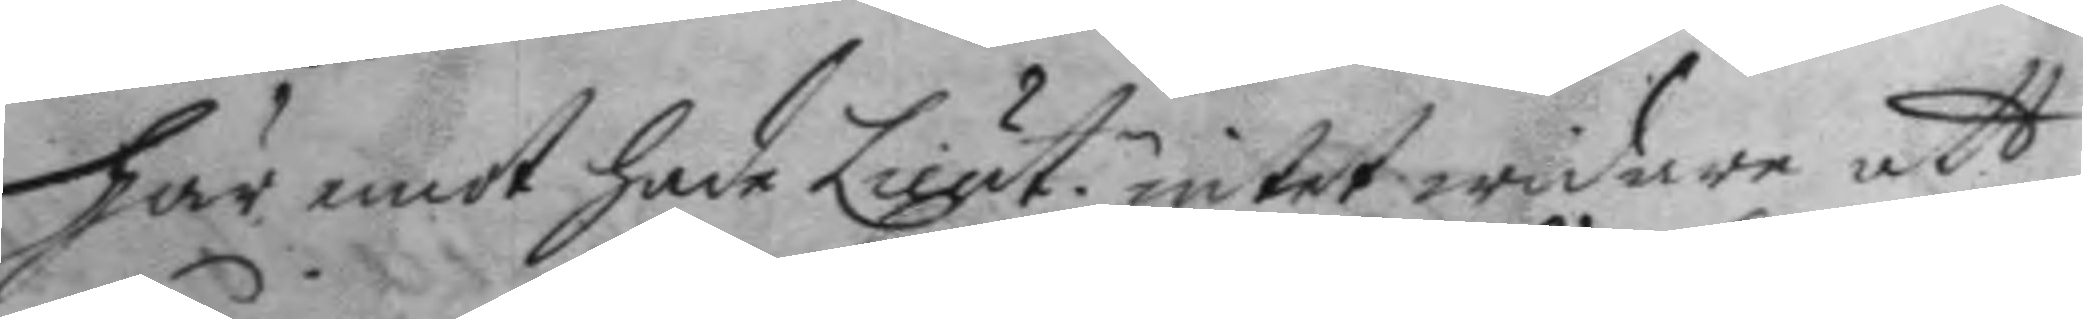Här emot hade Lieut.n intet widare att
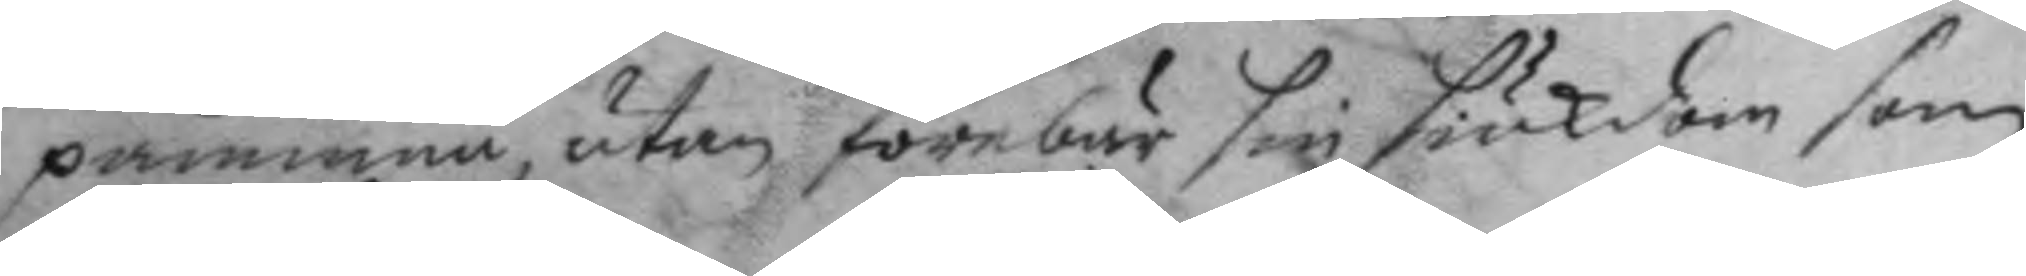påminna utan förebar sin siukdom som
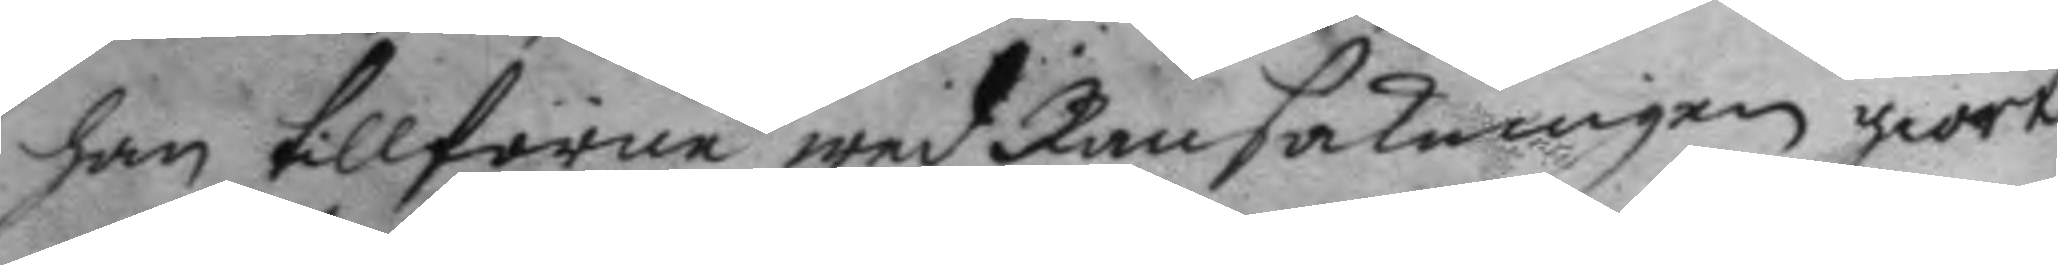han tillförne wed Ransakningen giort
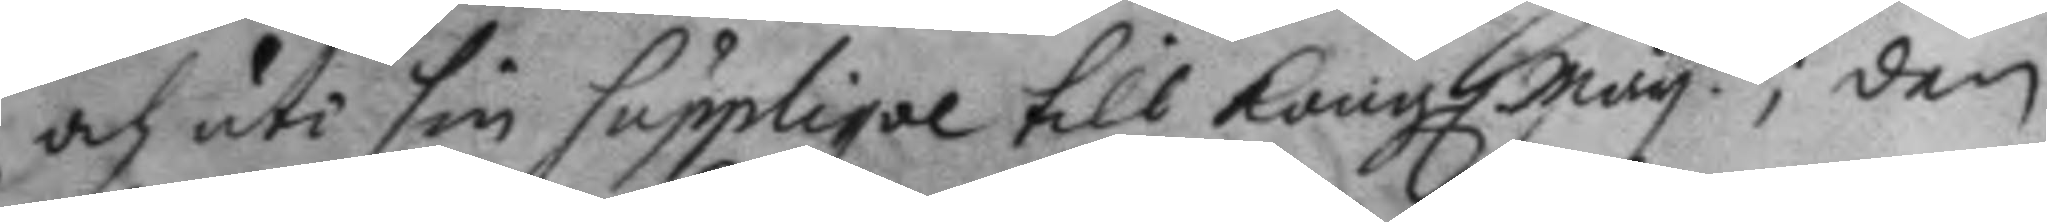och uti sin Supplique till Kong. May.tt; den
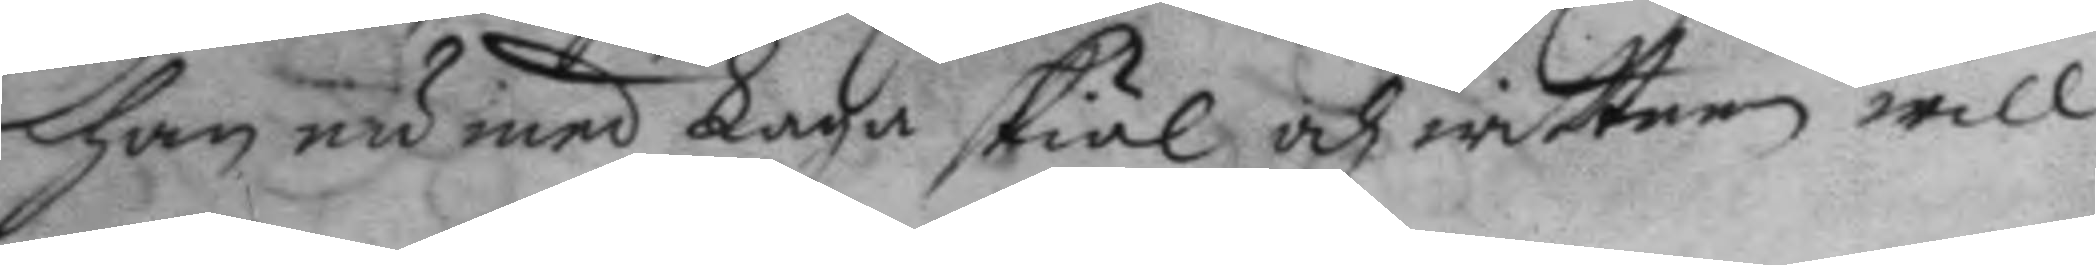han nu med Laga skiäl och wittnen will
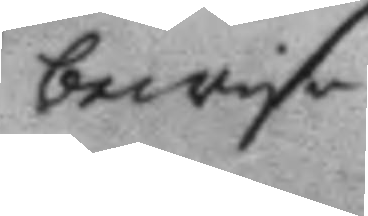bewisa
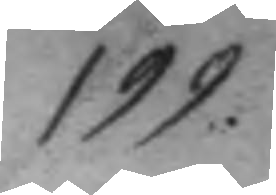199.
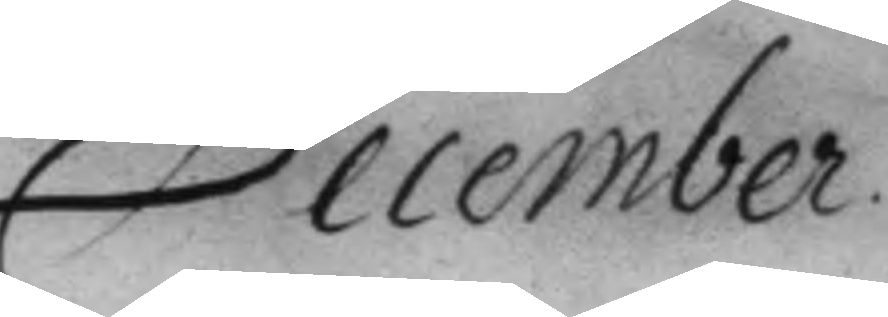December
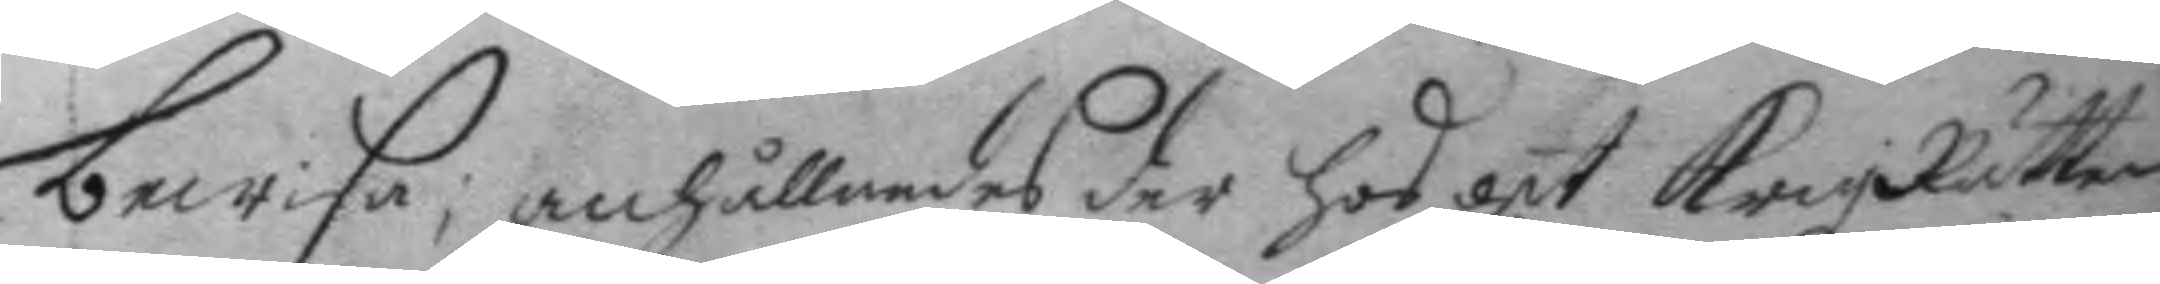bewisa, anhållandes der hos att KrigzRätten
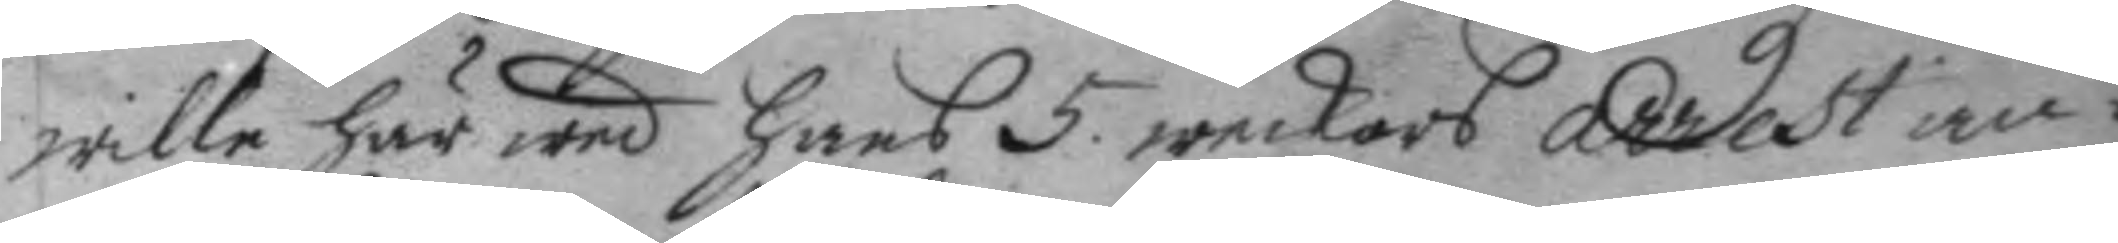wille här wed hans 5. weckors arrest an¬
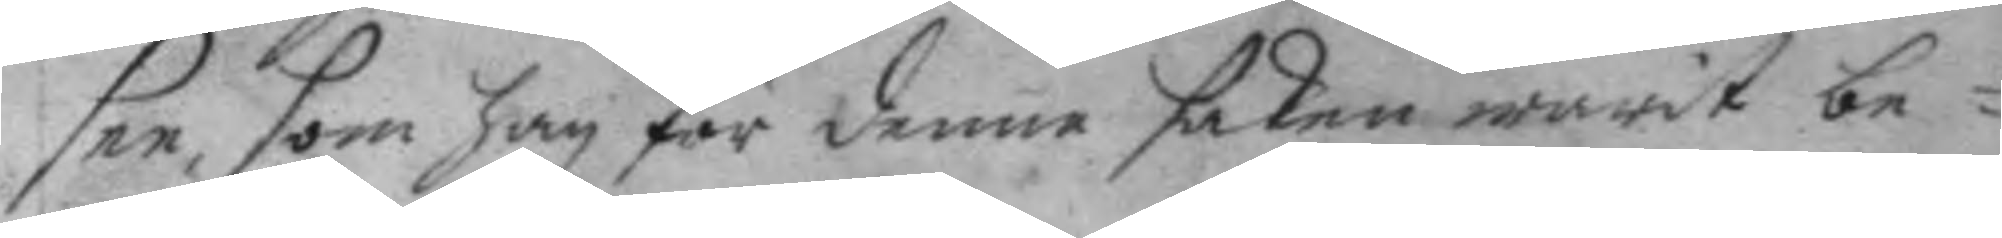see, som han för denne saken warit be¬
